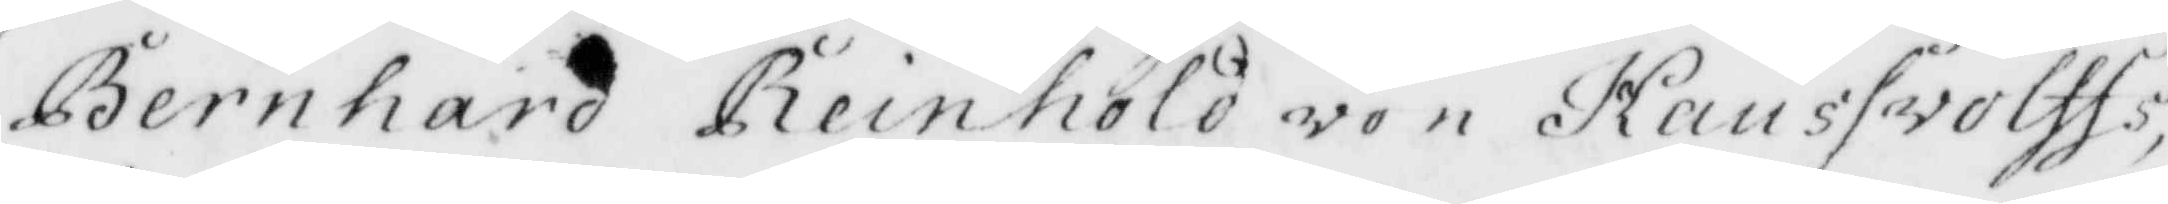Bernhard Reinhold von Kaussvolffs,
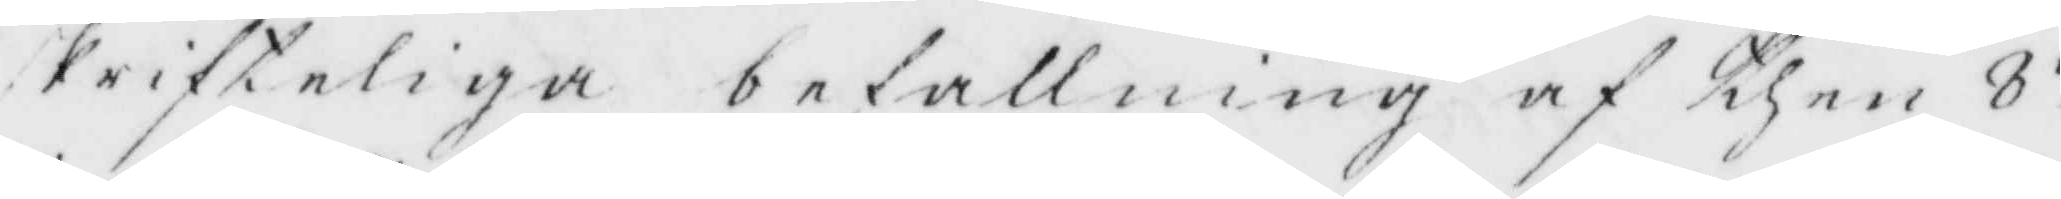skrifteliga befallning af then 8 de
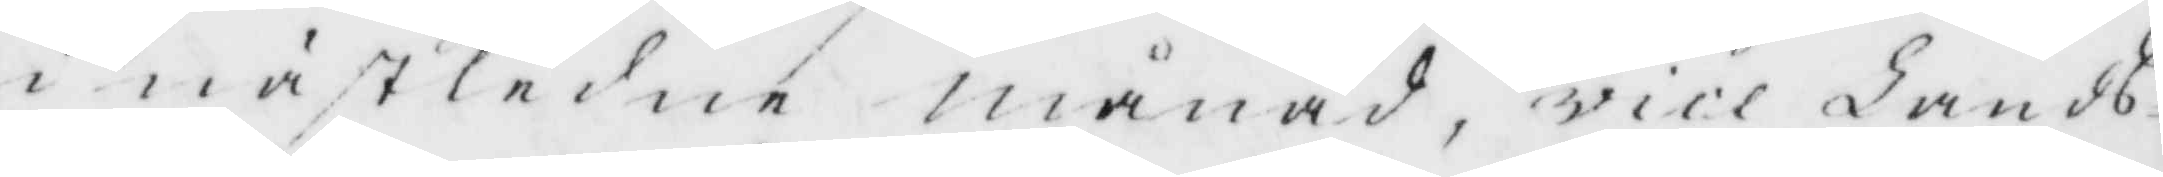i nästledne månad, vice Lands¬
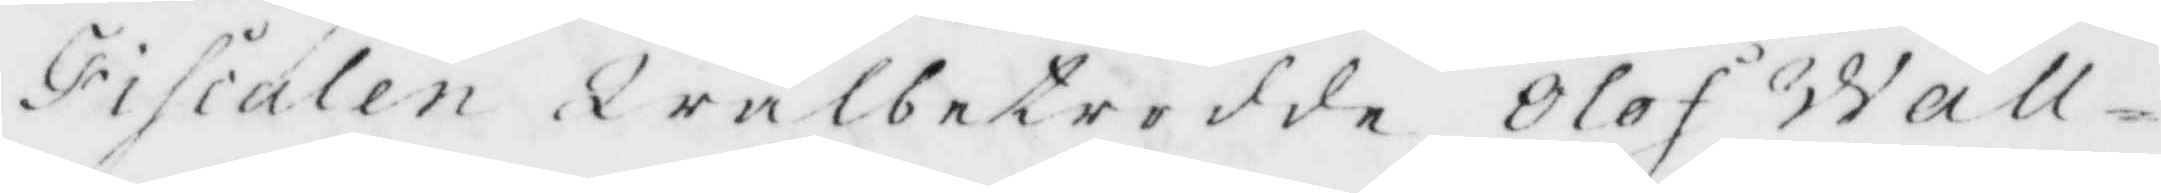Fiscalen Wälbetrodde Olof Wall¬
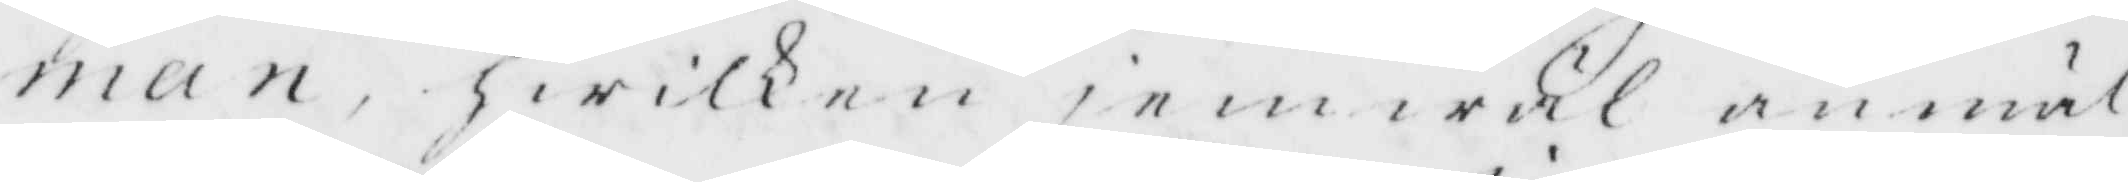man, hwilken jemwäl anmäl¬
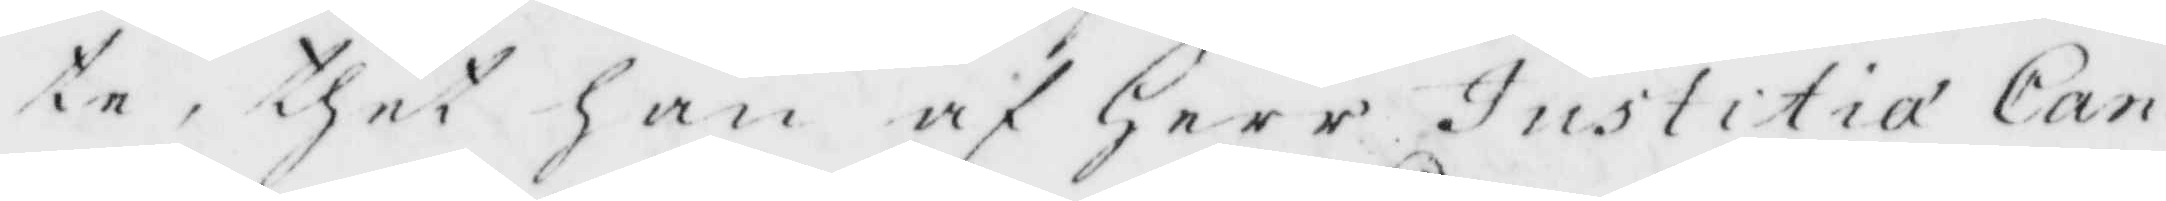te, thet han af Herr Justitia Can¬
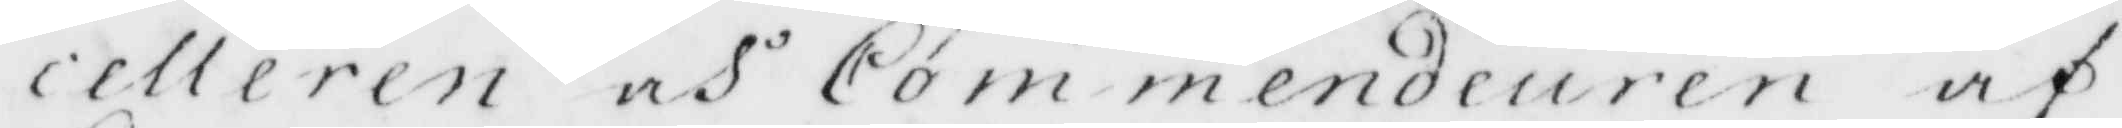celleren och Commendeuren af
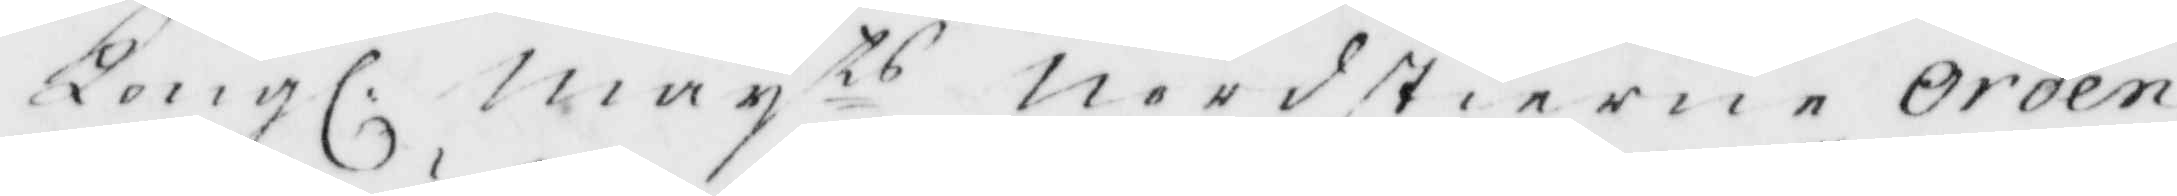Kongl: May ts Nordstierne Orden
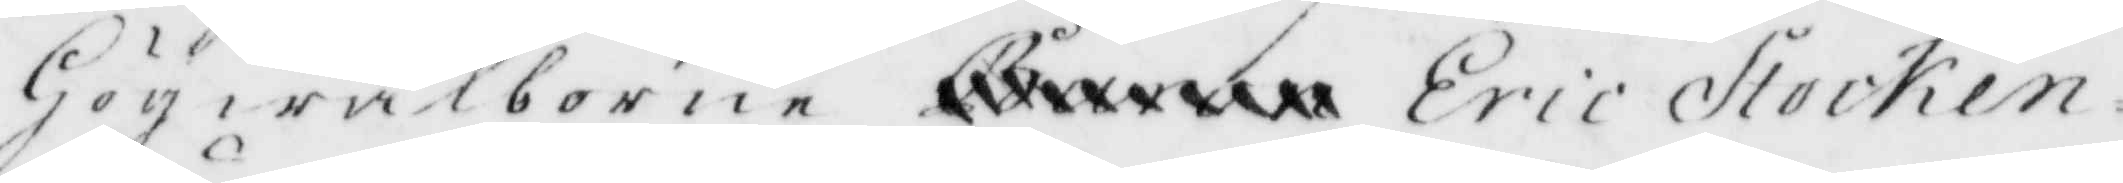Högwälborne xxxxxx Eric Stocken¬
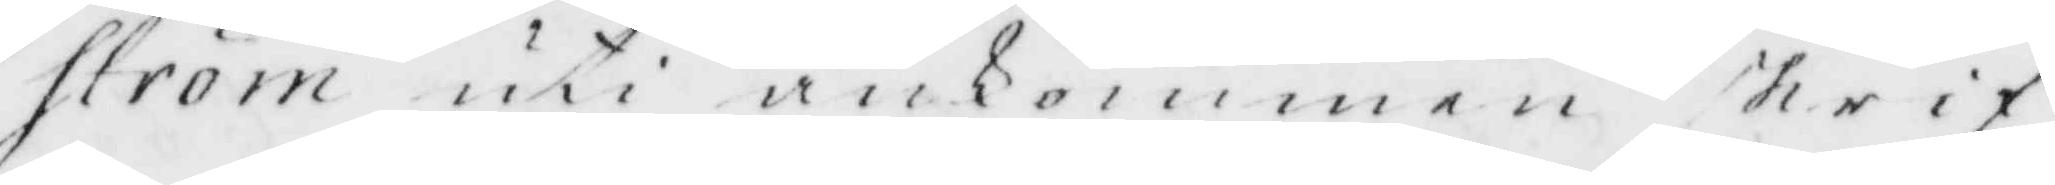ström uti ankommen skrif¬
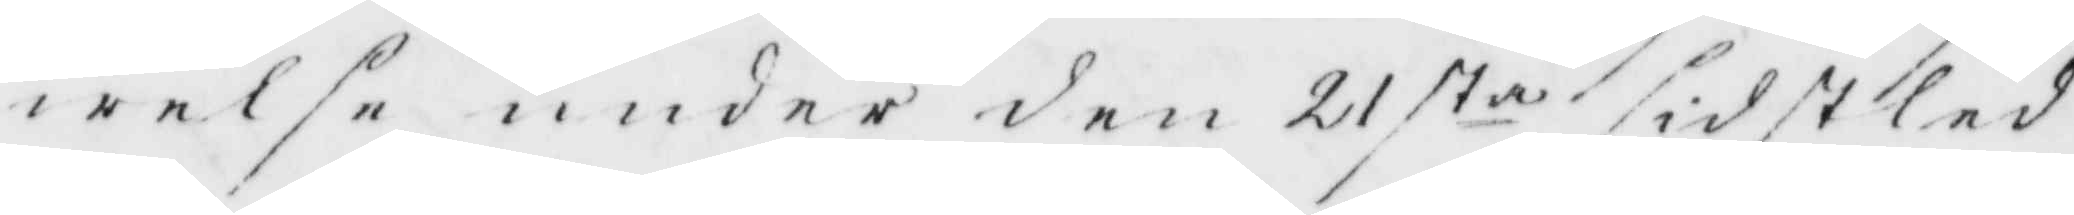welse under den 21 sta sidstled¬
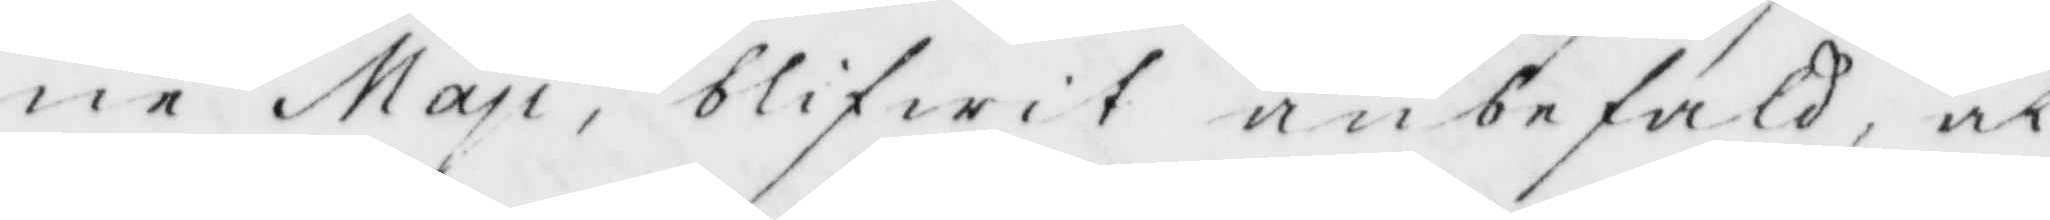ne May, blifwit anbefald, at
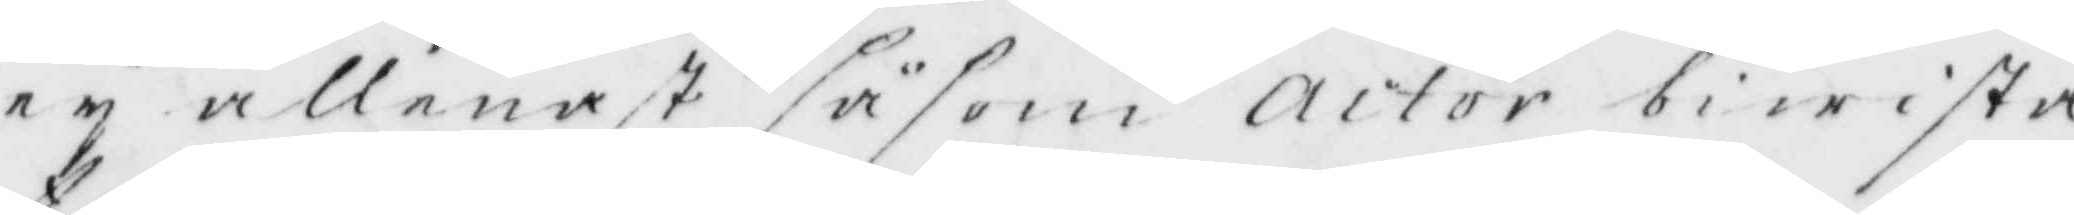ey allenast såsom actor biwista
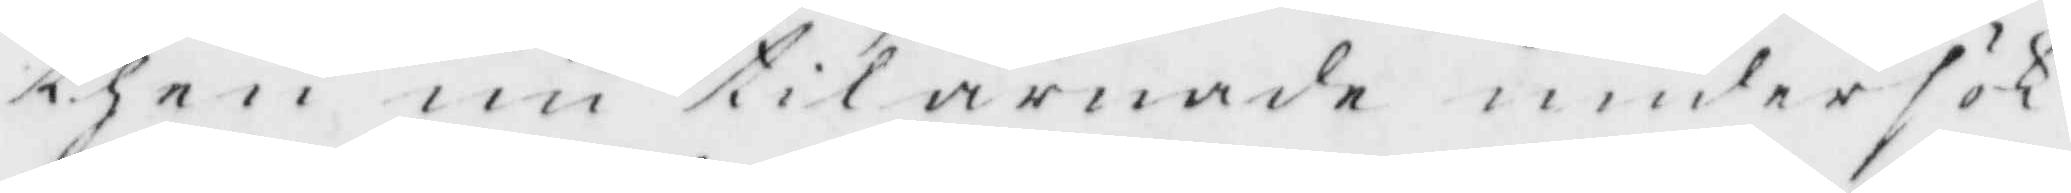then nu tillärnade undersök¬
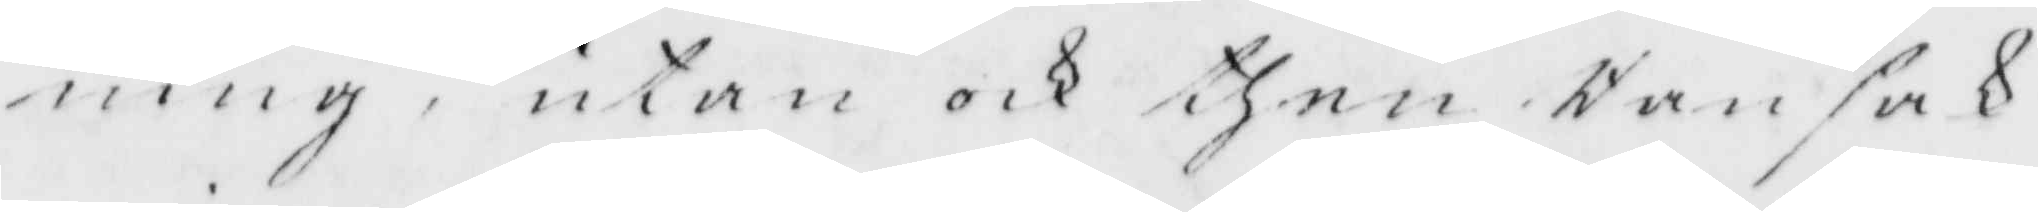ning, utan och then Ransak¬
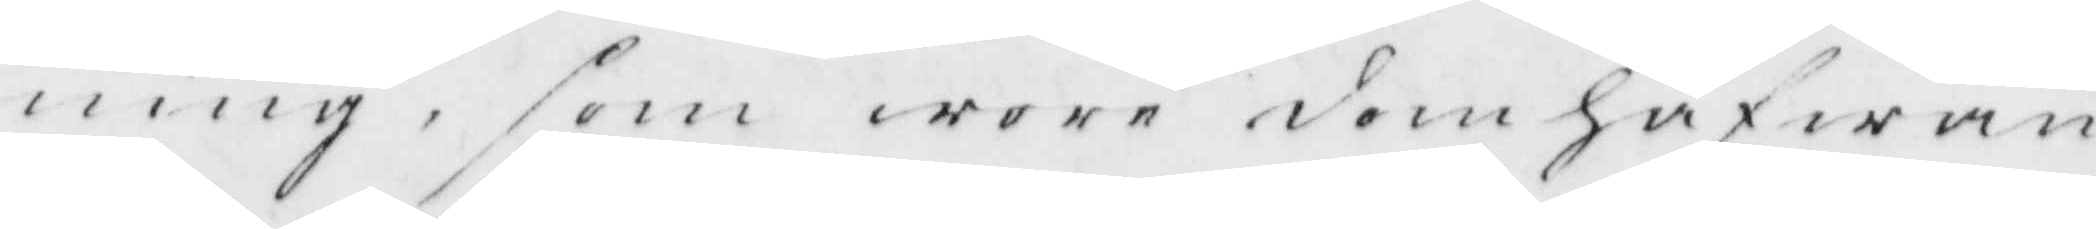ning, som wore domhafwan¬
